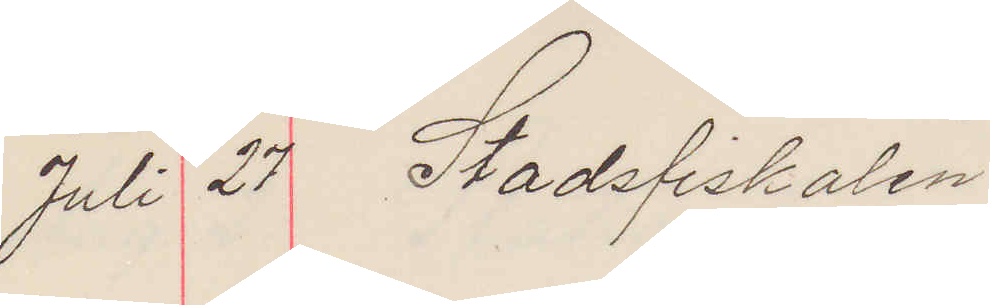Juli 27 Stadsfiskalen
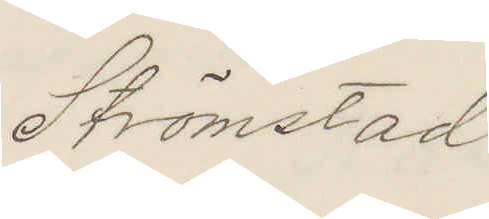Strömstad
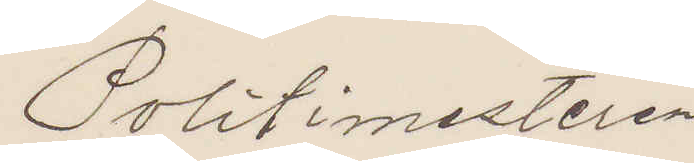Politimesteren
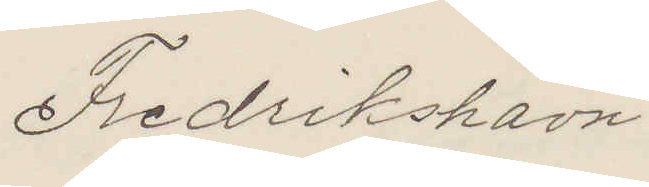Fredrikshavn
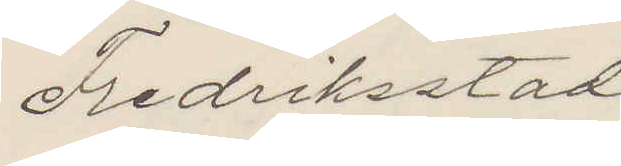Fredriksstad
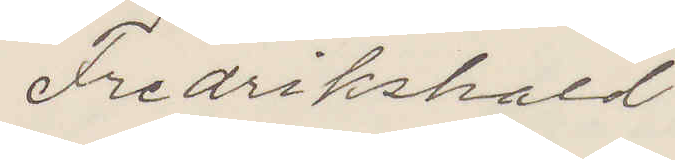Fredrikshald.
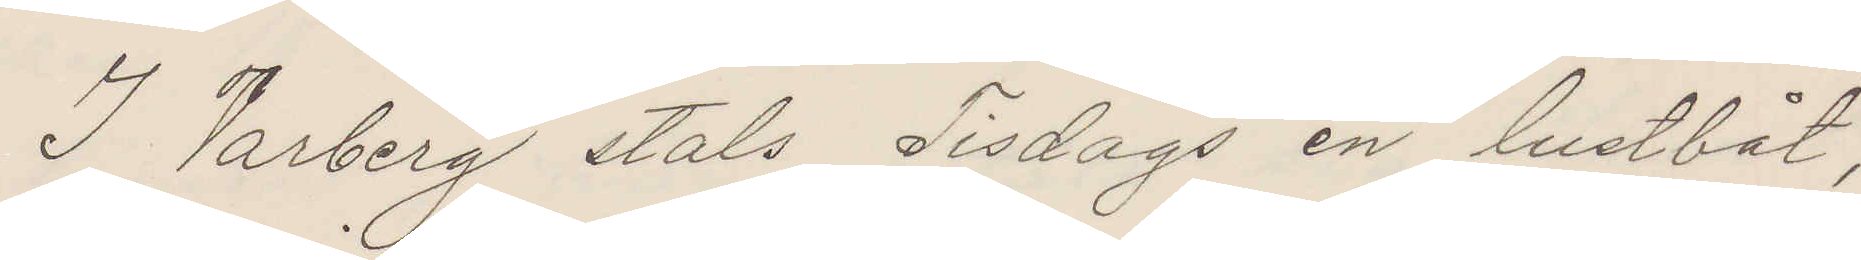I Varberg stals Tisdags en lustbåt,
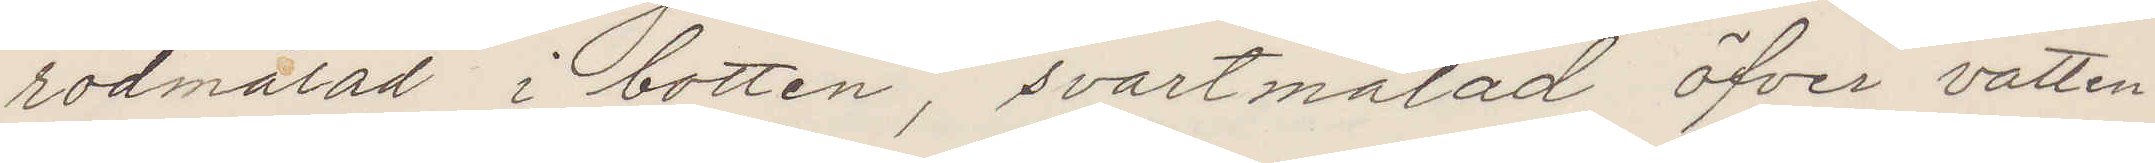rödmålas i botten, svartmålas öfver vatten¬
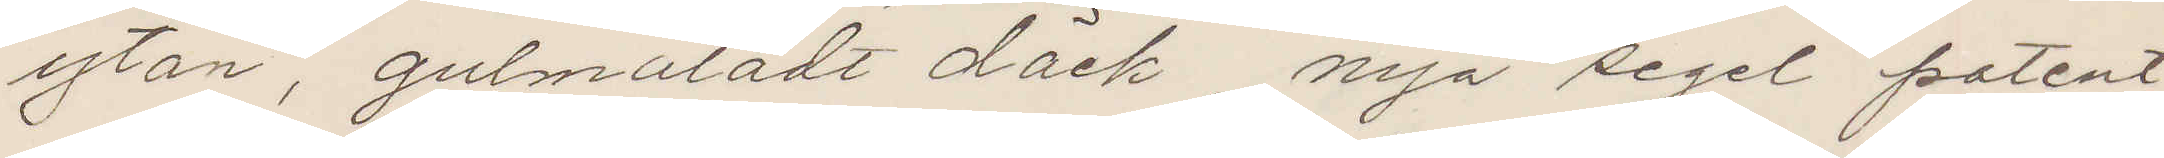ytan, gulmålad däck, nya segel patent¬
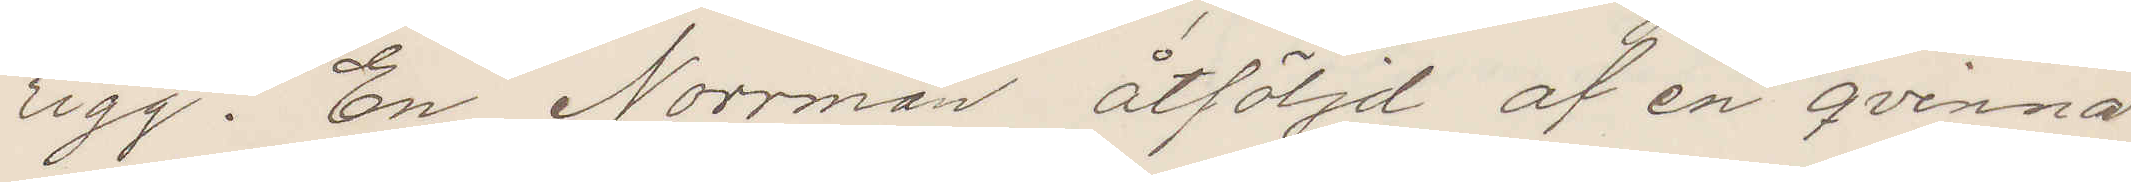rigg. En Norrman åtföljd af en qvinna
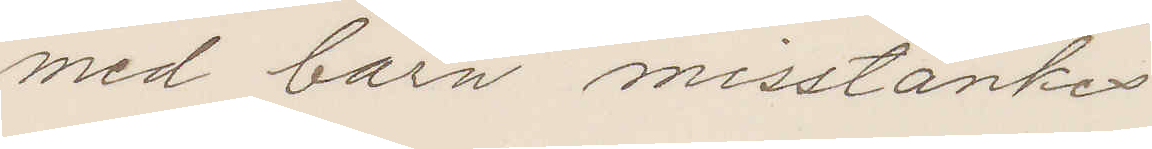med barn misstänkes.
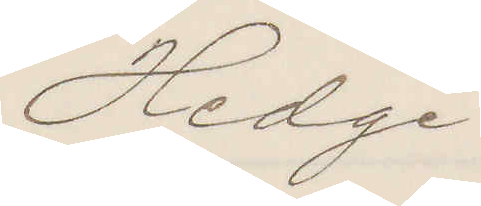Hedge
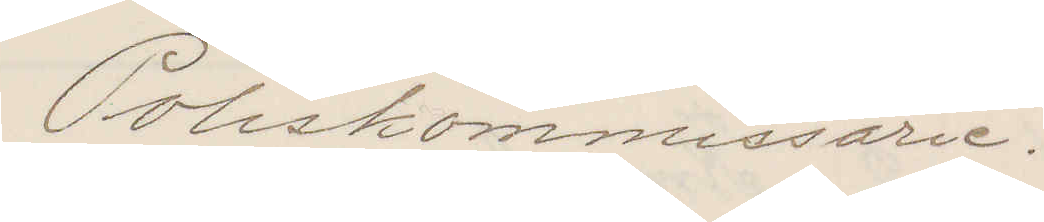Poliskommissarie.
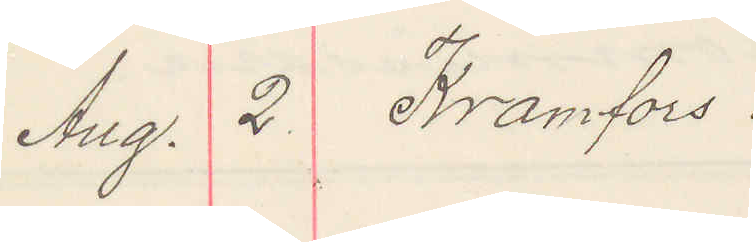Aug. 2 Kramfors.
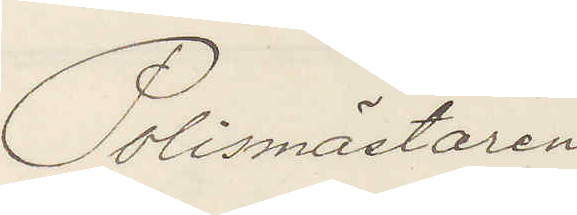Polismästaren
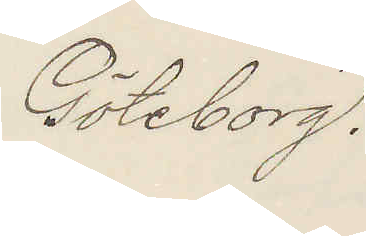Göteborg.
